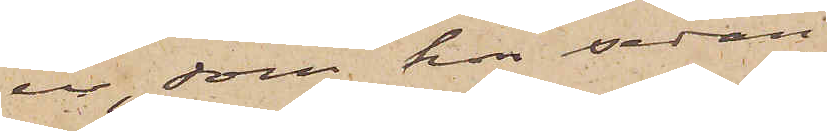ur, som hon sedan
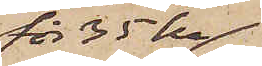för 35 kr
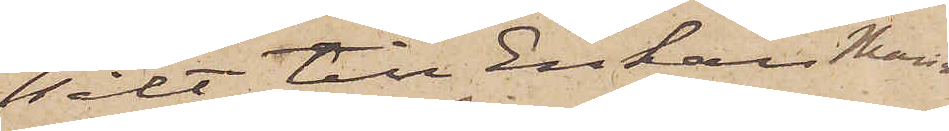sålt till Enkan Maria
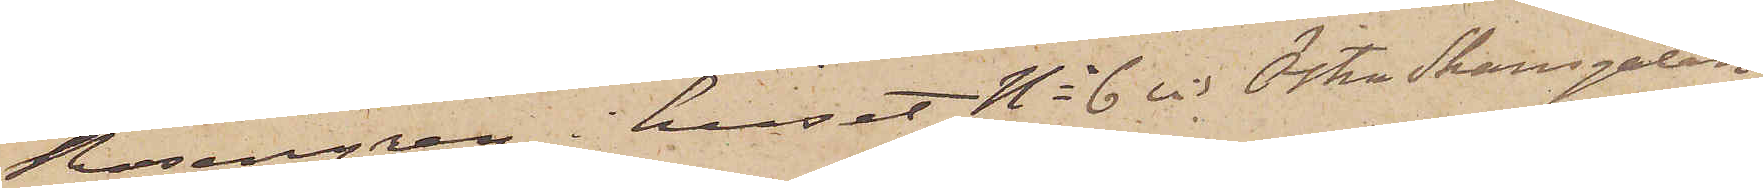Rosengren i huset No 6 vid Östra Skansgatan.
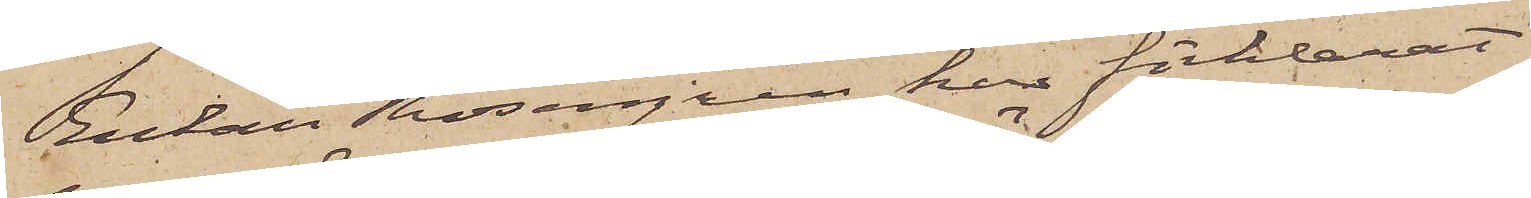Enkan Rosengren har förklarat
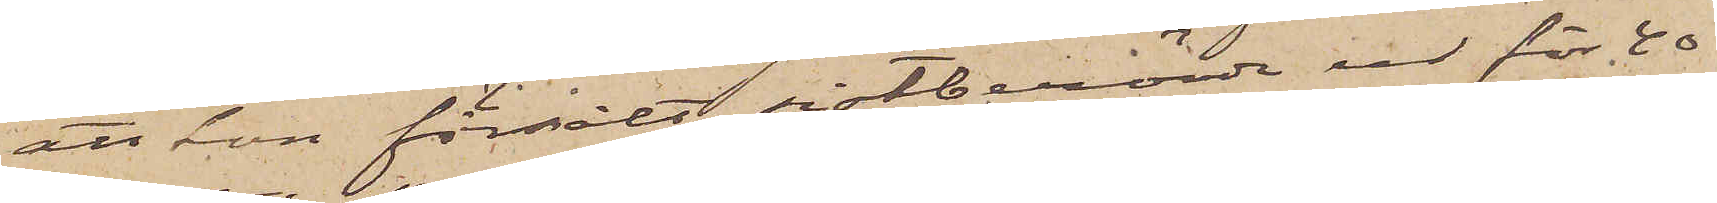att hon försålt sistberörde ur för 40
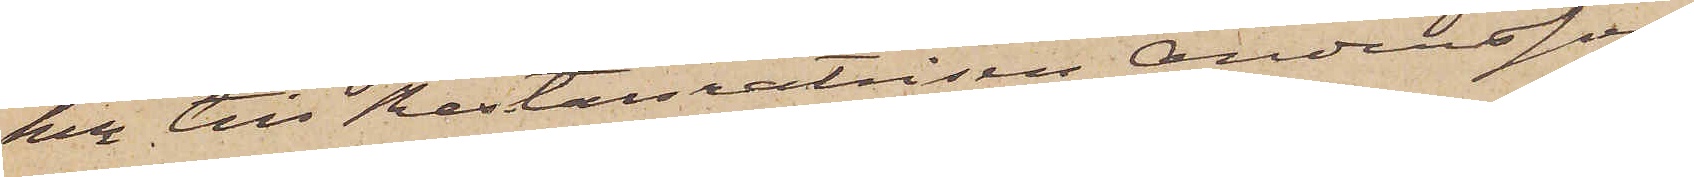kr till Restauratrisen Andersson
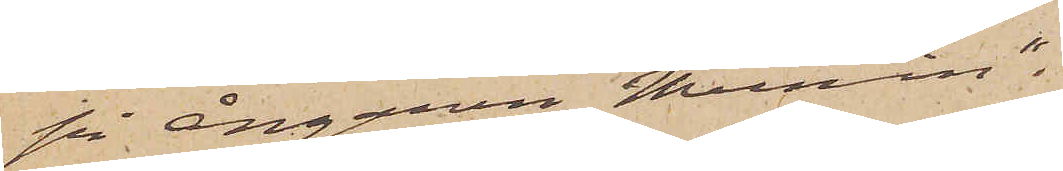på ångaren "Munin".
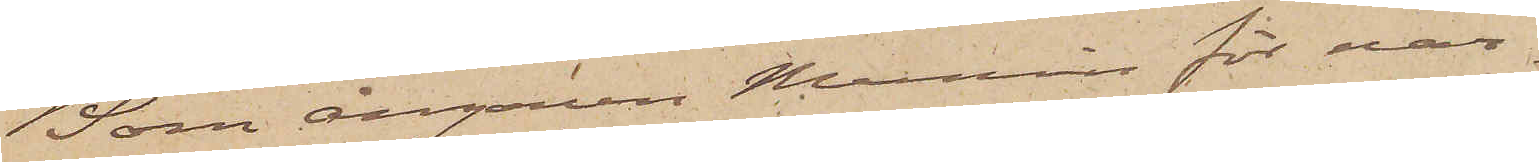Som ångaren Munin för när¬
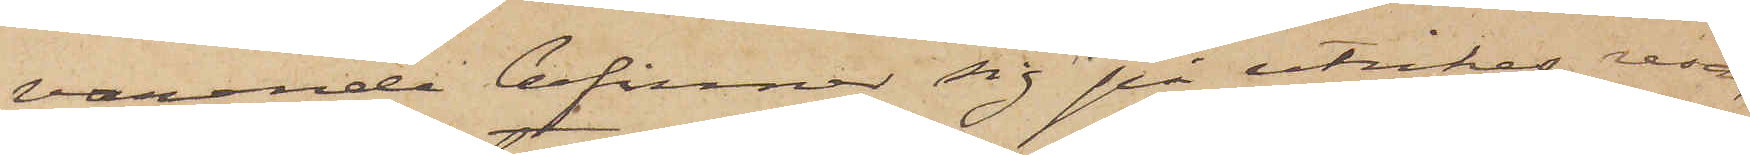varande befinner sig på utrikes resa,
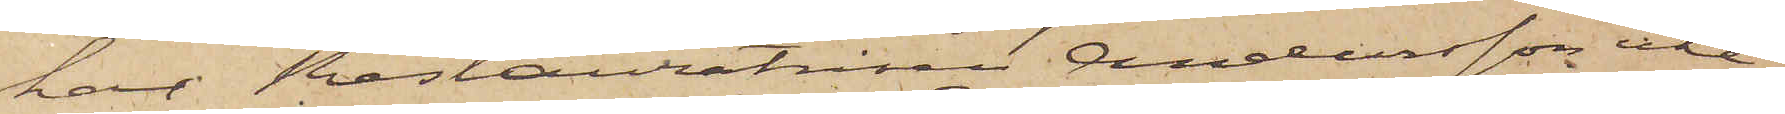har Restauratrisen Andersson icke
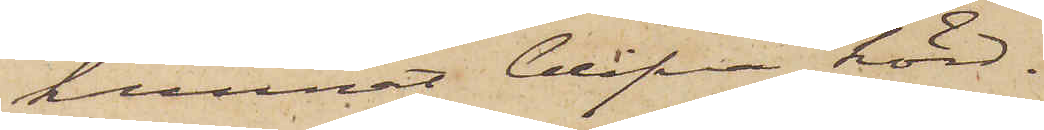kunnat blifva hörd.
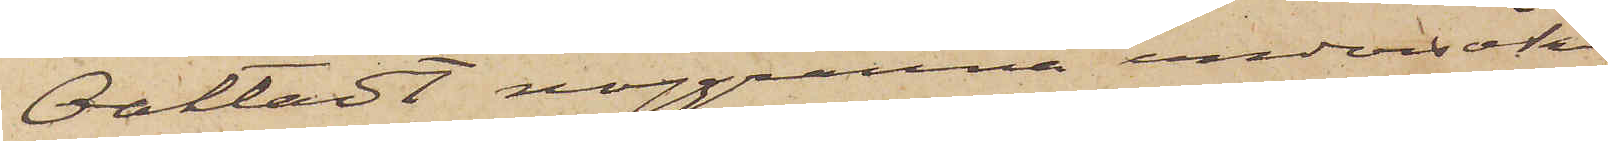Oaktadt noggranna undersök¬
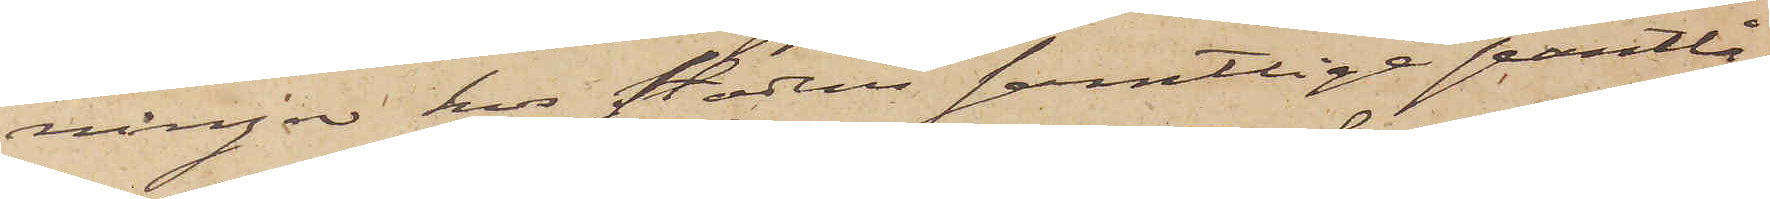ningar hos stadens samtlige pantlå¬
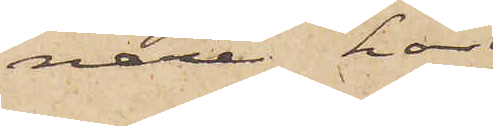nare har
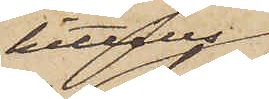hittills
